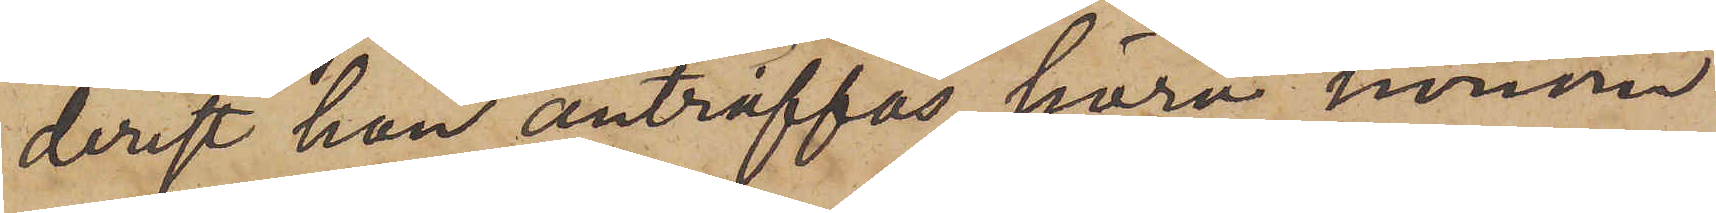derest han anträffas, höra honom
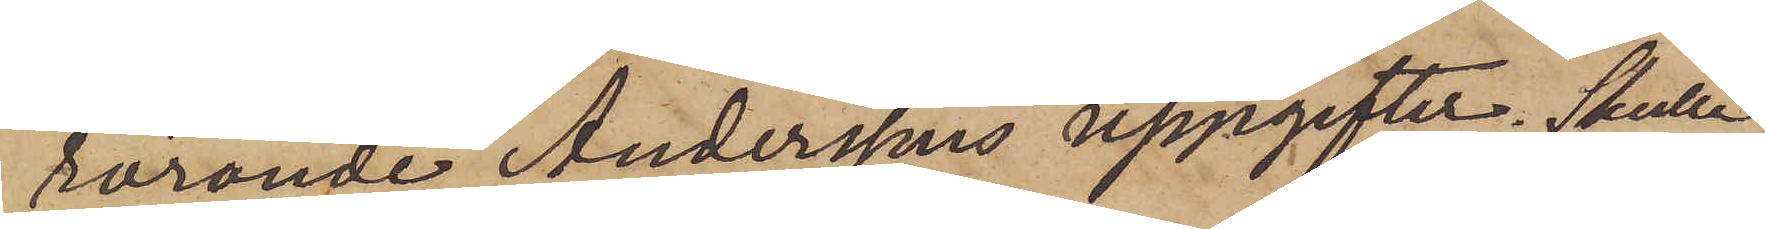rörande Anderssons uppgifter. Skulle
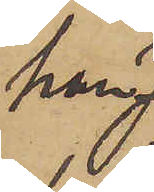han
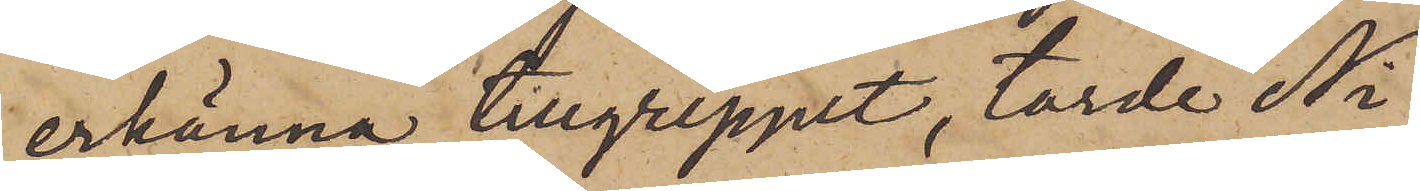erkänna tillgreppet, torde Ni
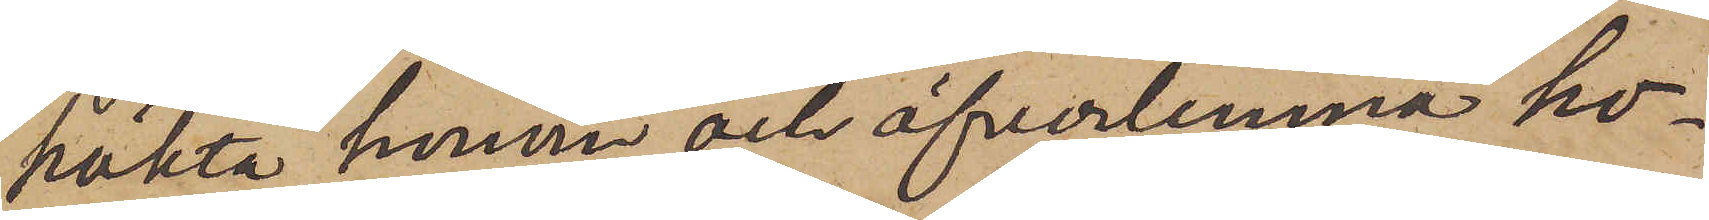häkta honom och öfverlemna ho¬
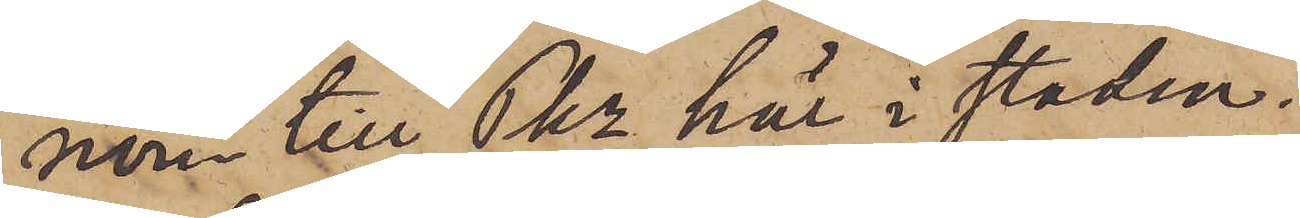nom till Pkr här i staden.
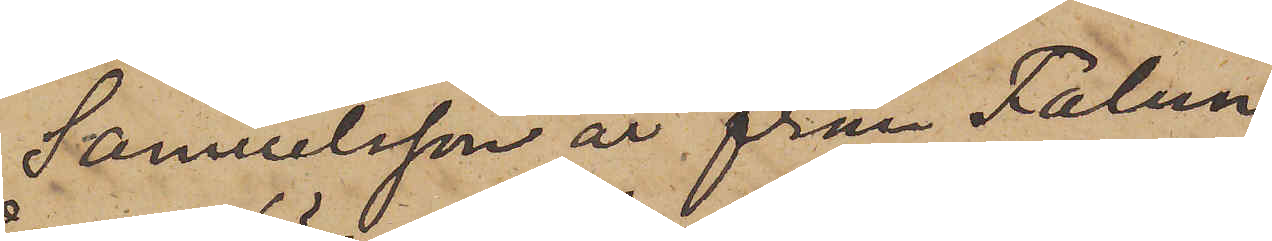Samuelsson är från Falun
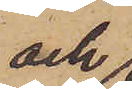och 
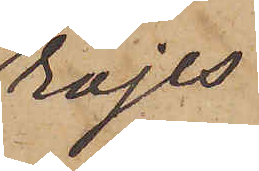röjes
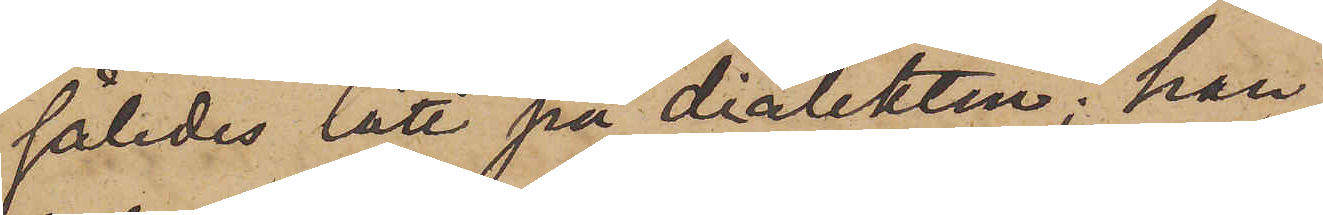således lätt på dialekten; han
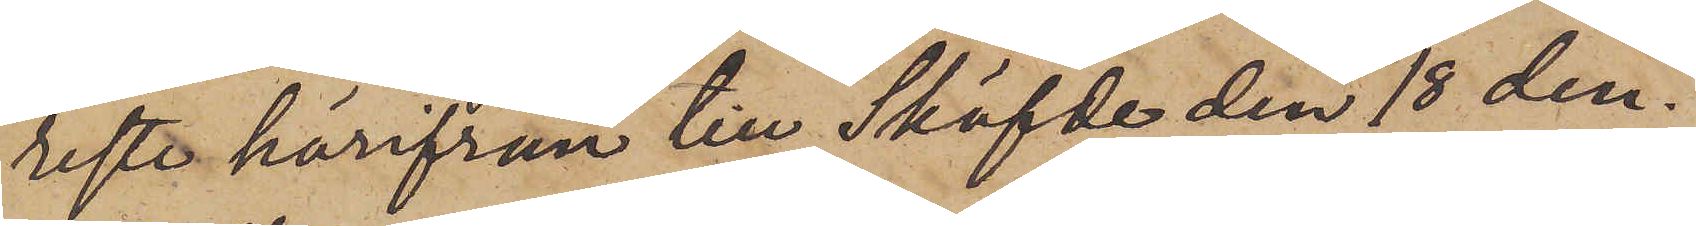resta härifrån till Sköfde den 18 den¬
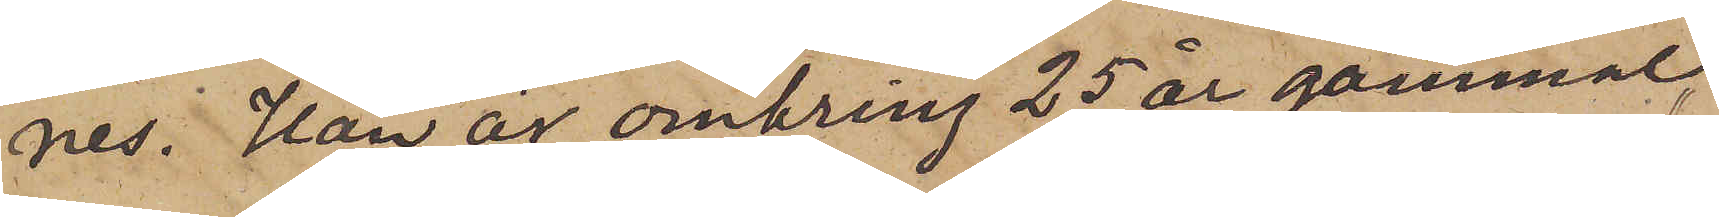nes. Han är omkring 25 år gammal,
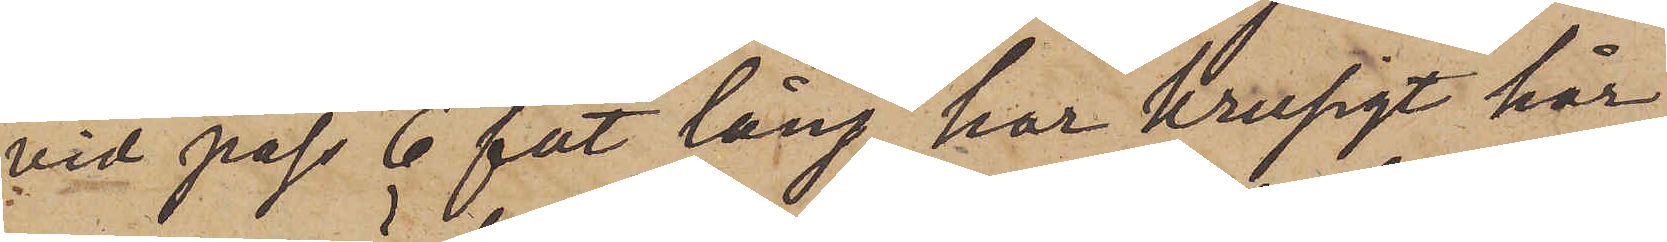vid pass 6 fot lång, har krusigt hår
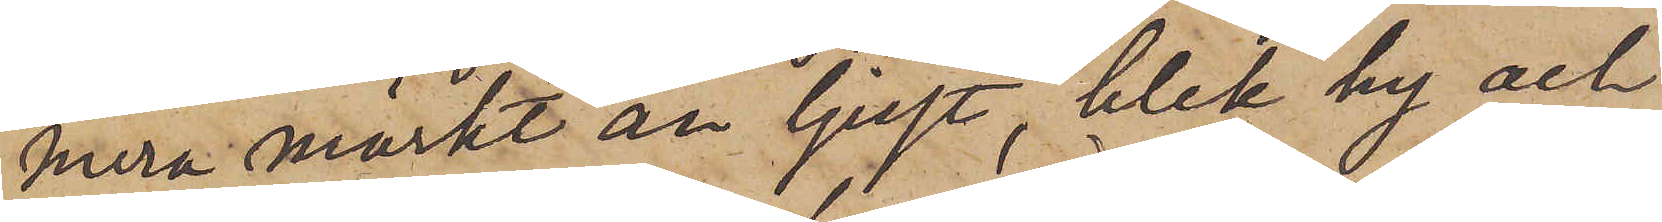mera mörkt än ljust, blek hy och
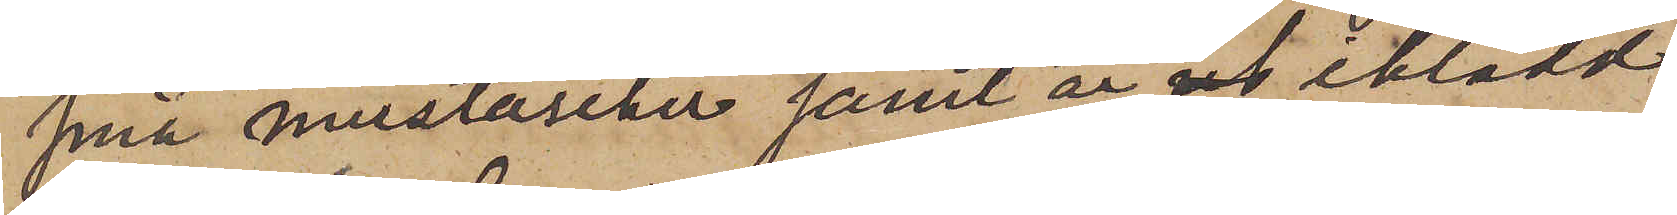små mustascher samt är iklädd
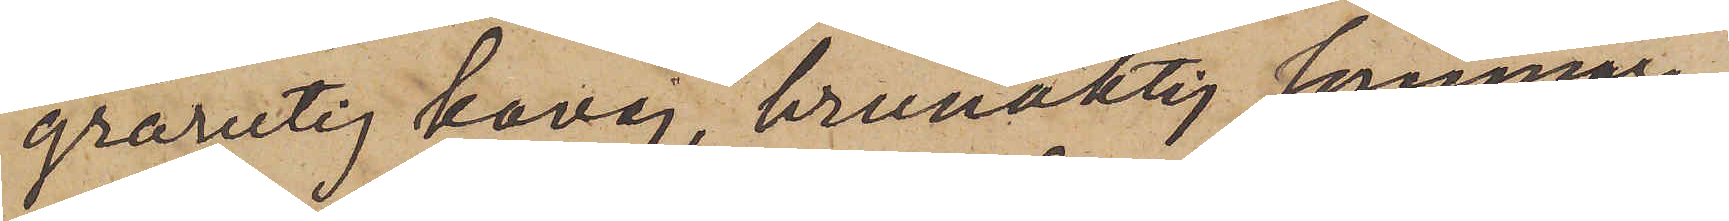grårutig kavaj, brunaktig sommar¬
